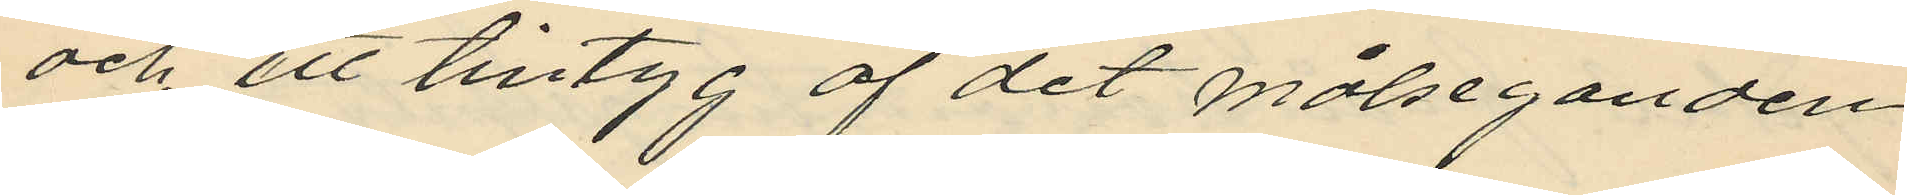och ett tintyg af det målseganden
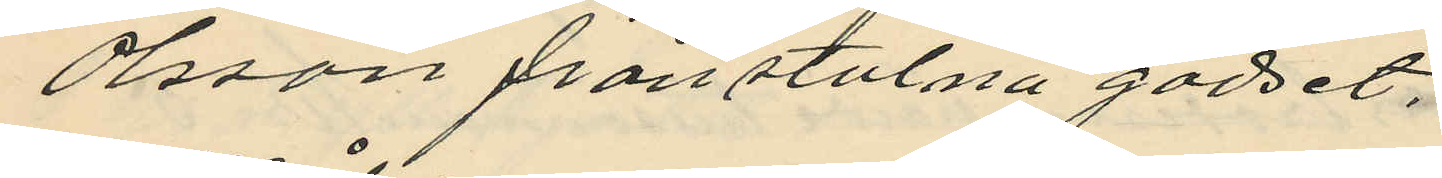Olsson frånstulna godset.
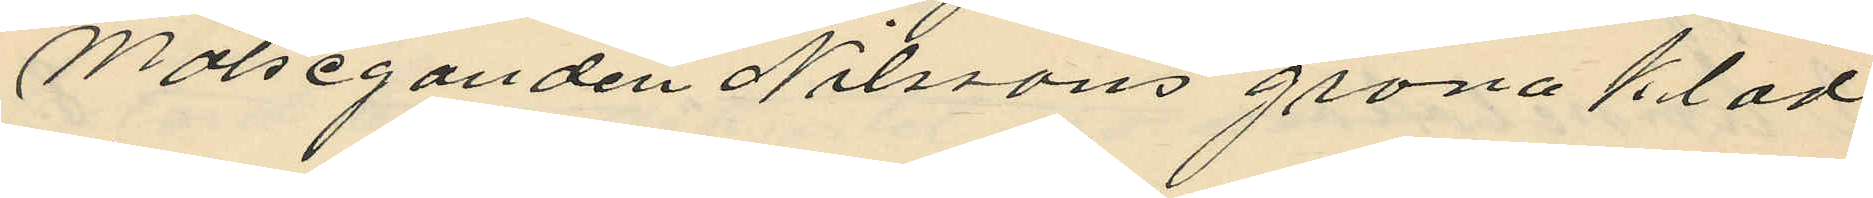Målseganden Nilssons gröna kläd
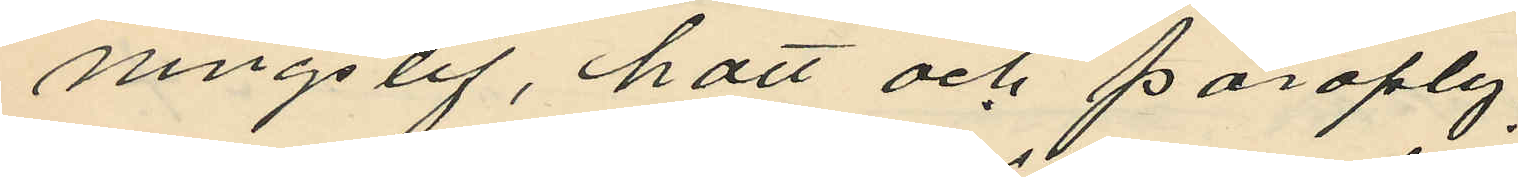ningslif, hatt och paraply;
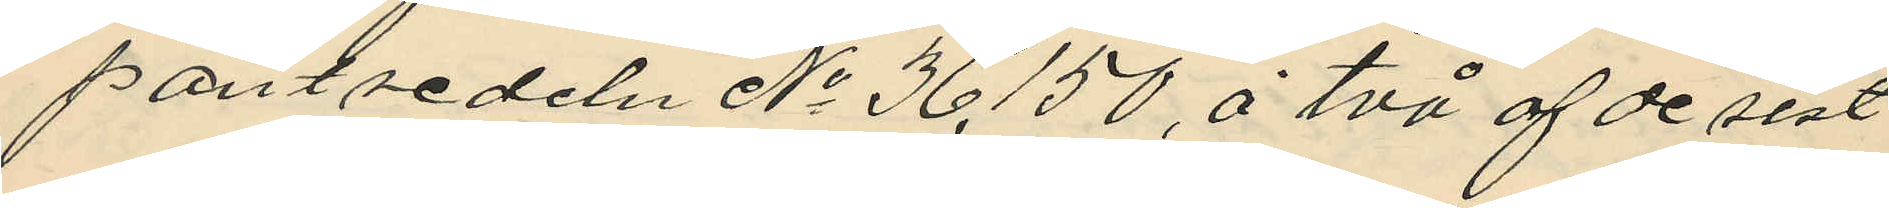pantsedeln No 36,150 å två af de sist
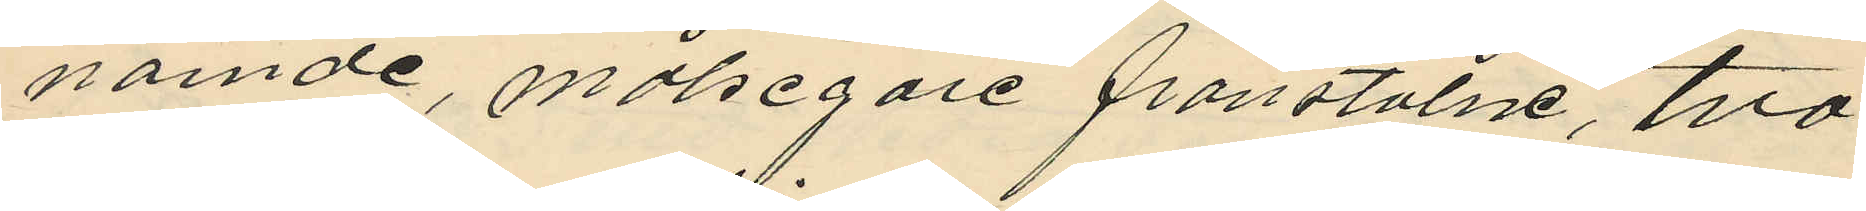nämde, målsegare frånstulne, två
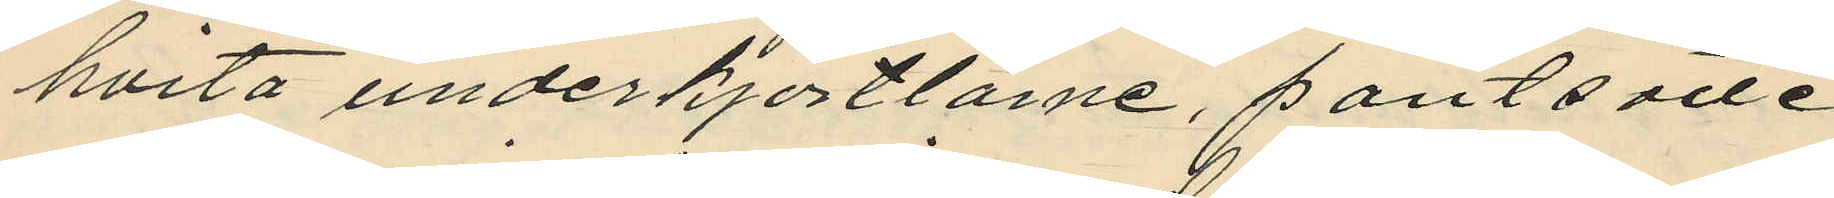hvita underkjortlarne, pantsatte
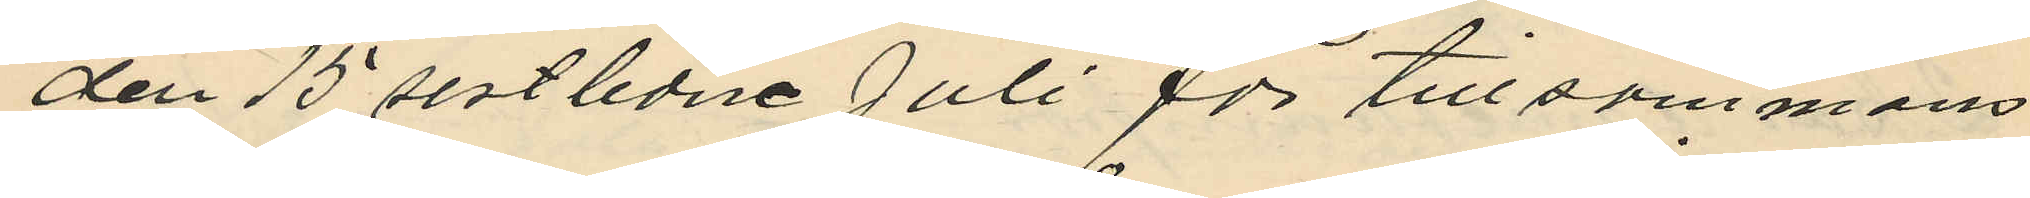den 15 sistlidne Juli för tillsammans
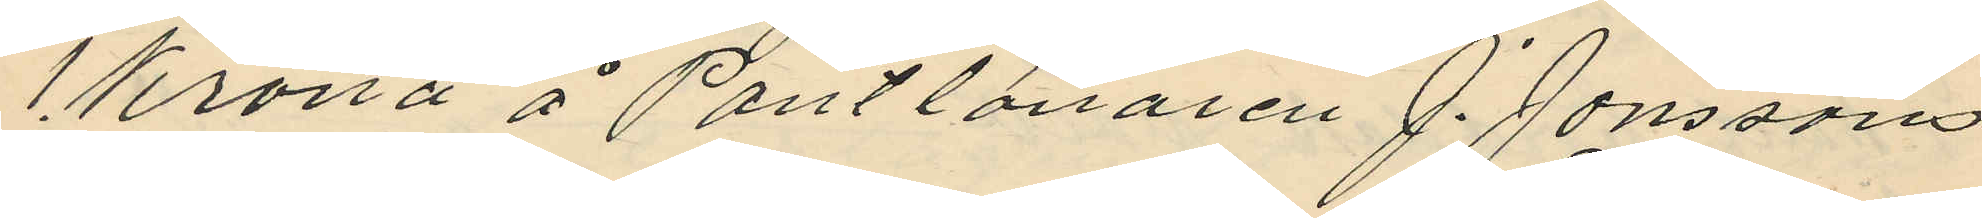1 Krona å Pantlånaren J. Jonssons
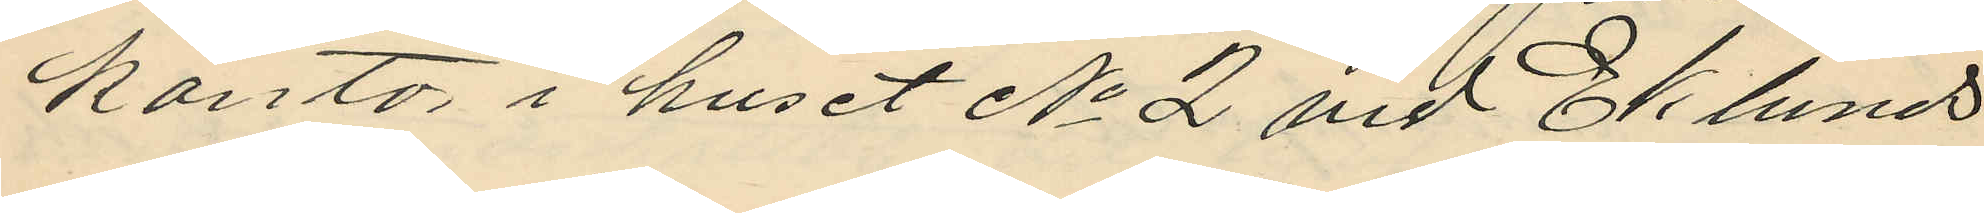kontor i huset No 2 vid Eklunds
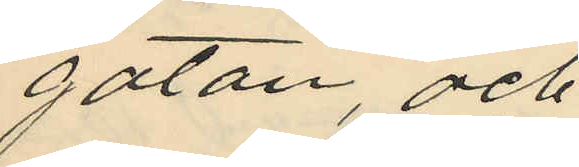gatan, och
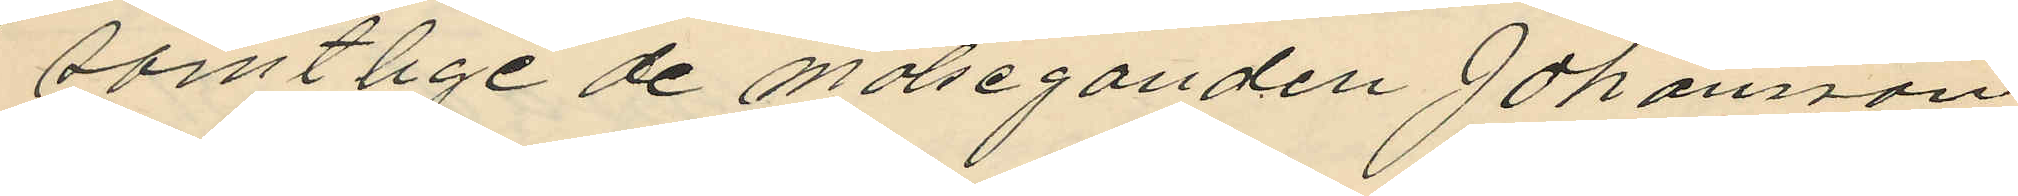samtlige de målseganden Johansson
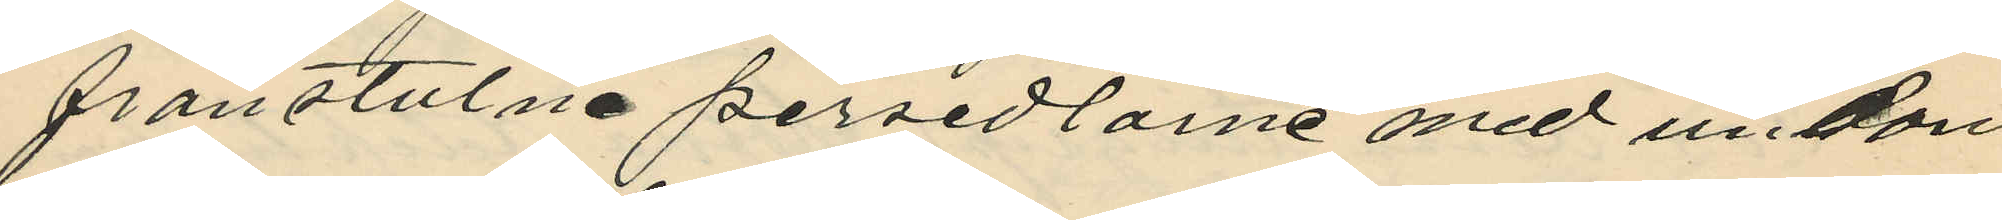frånstulne persedlarne med undan
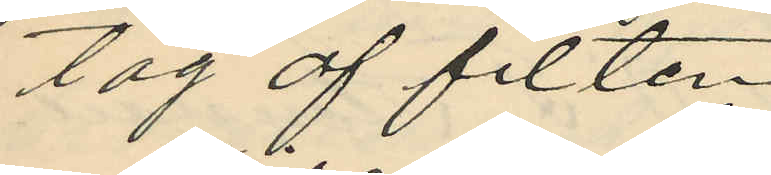tag af filten,
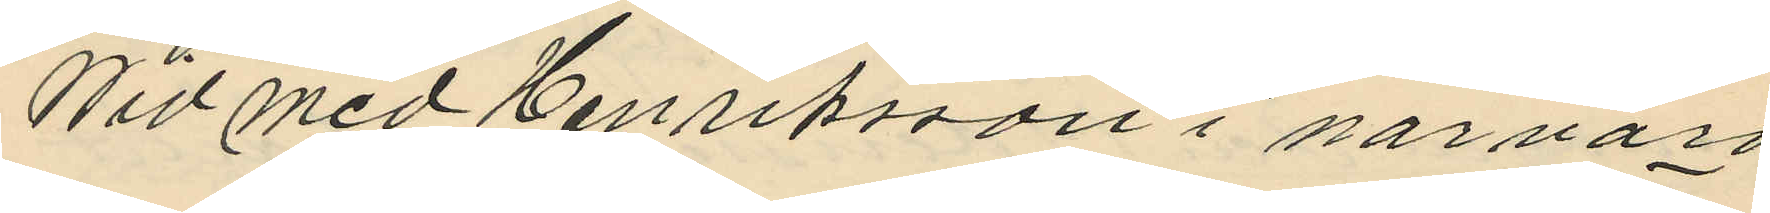Wid med Henriksson i närvaro
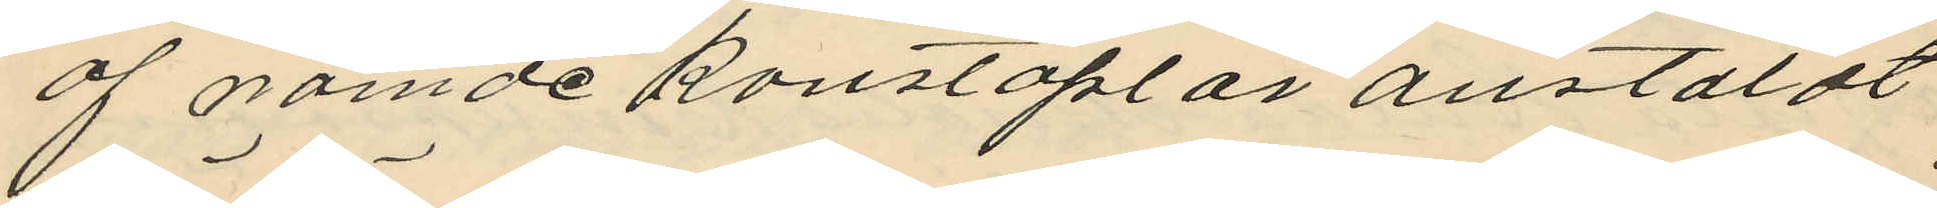af nämde konstaplar anstäldt
